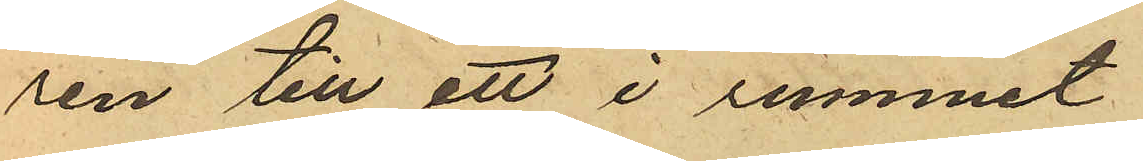ren till ett i rummet
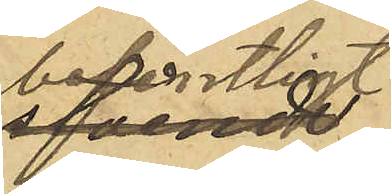befintligt
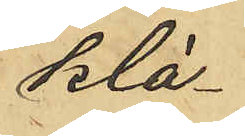klä¬
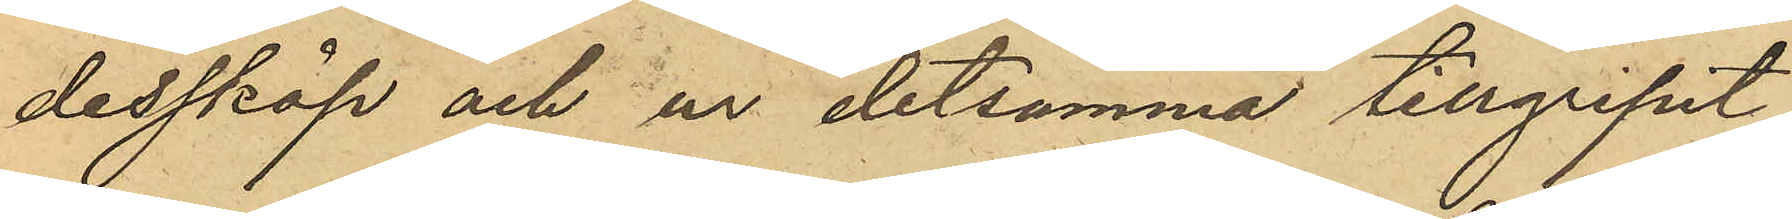desskåp och ur detsamma tillgripit
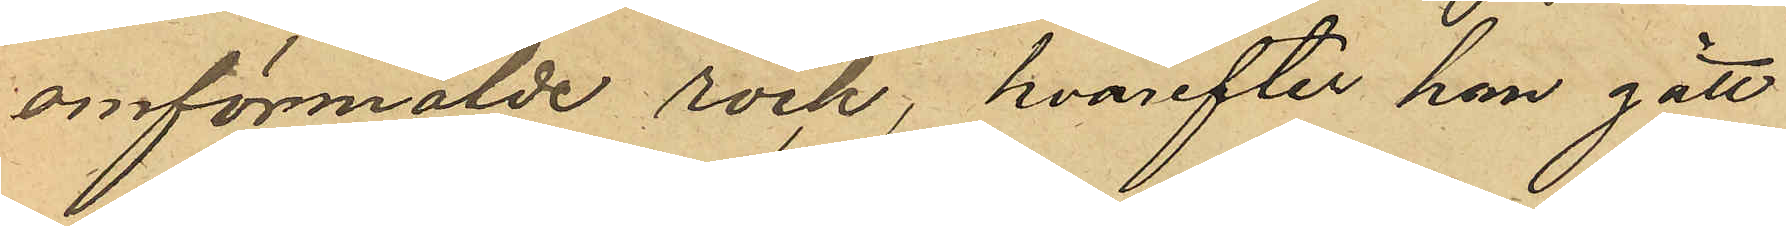omförmälde rock, hvarefter han gått
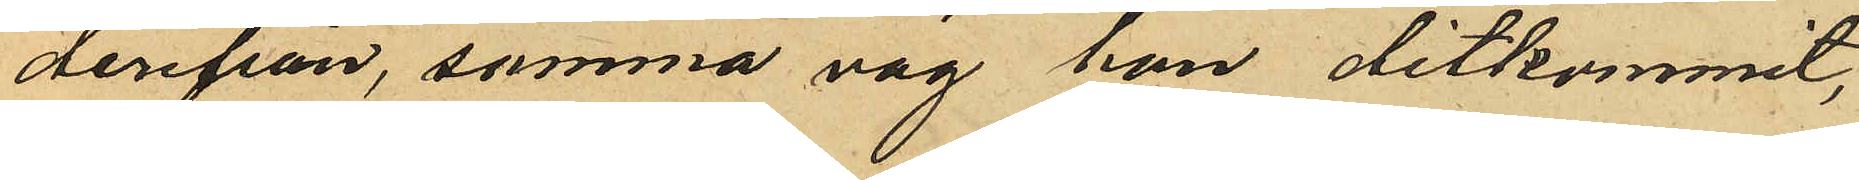derifrån, samma väg han ditkommit,
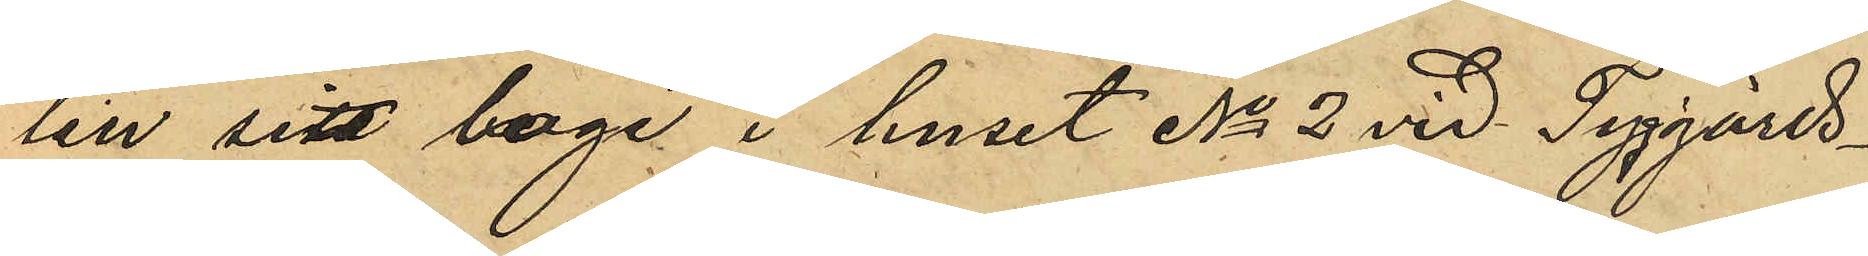till sitt logi i huset No 2 vid Tyggårds¬
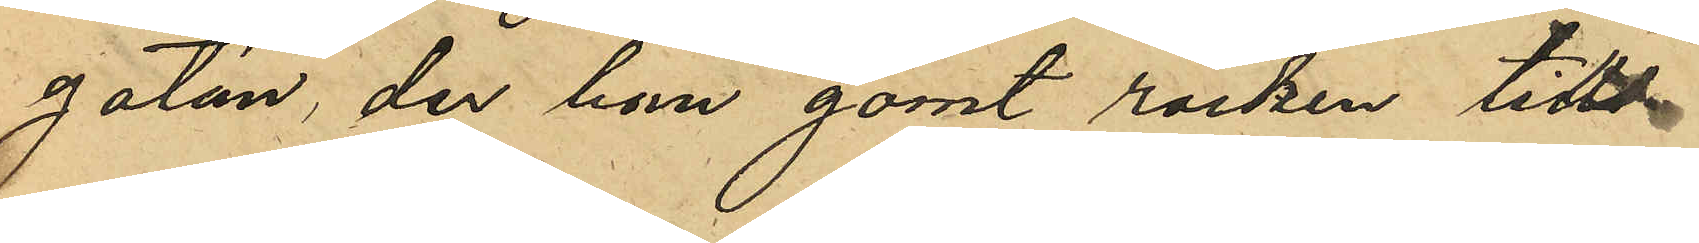gatan, der han gömt rocken tills
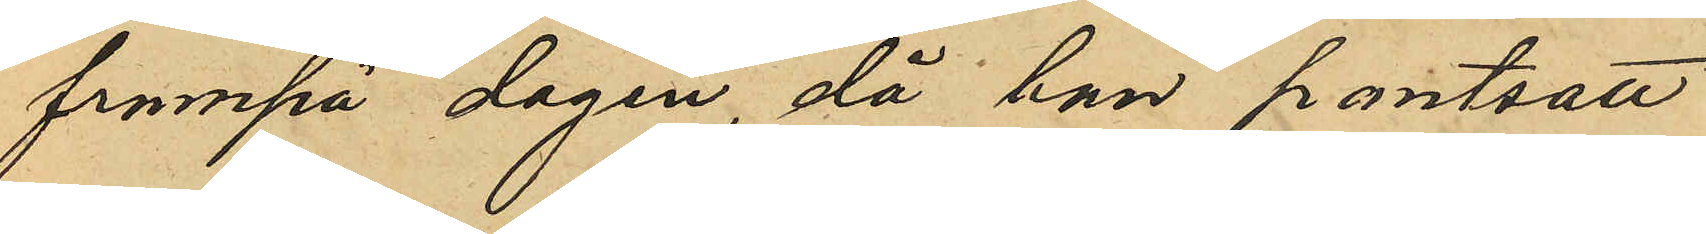frampå dagen, då han pantsatt
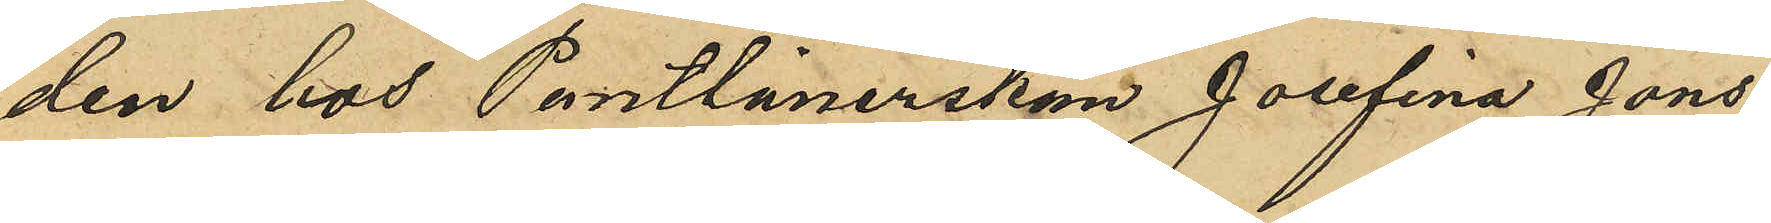den hos Pantlånerskan Josefina Jons¬
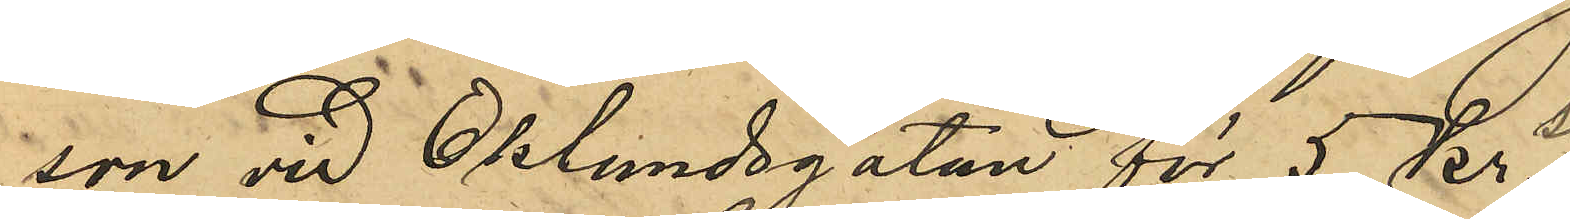son vid Eklundsgatan för 5 kr;
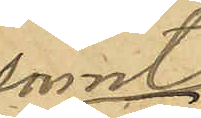samt
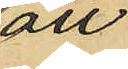att
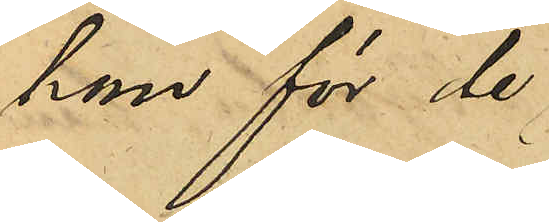han för de
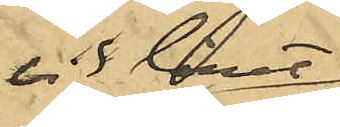vid lånet
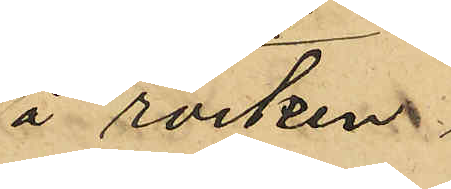å rocken.
